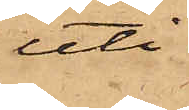uti
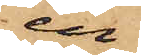en
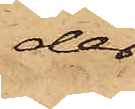der
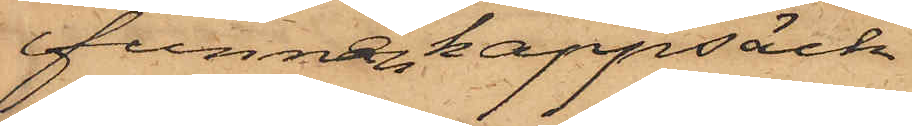funnen kappsäck
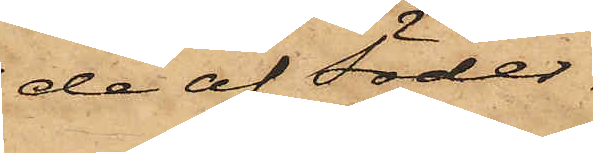de af Söder¬
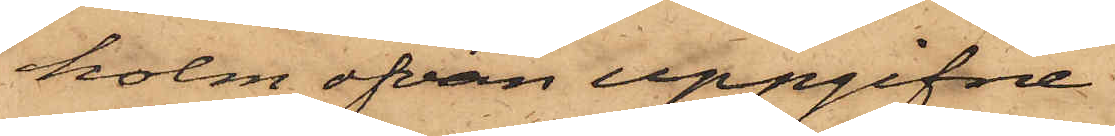holm ofvan uppgifne
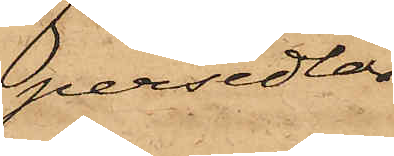persedlar
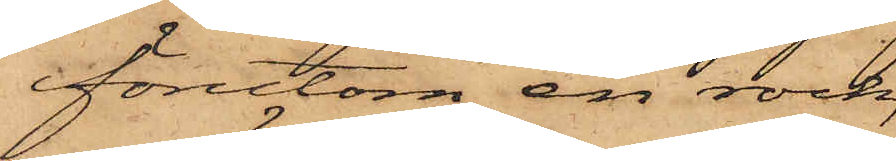förutom en rock,
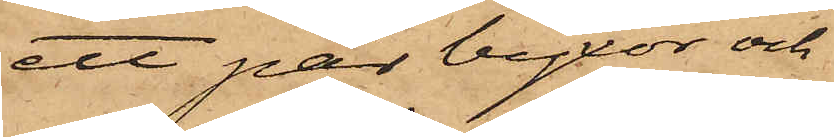ett par byxor och
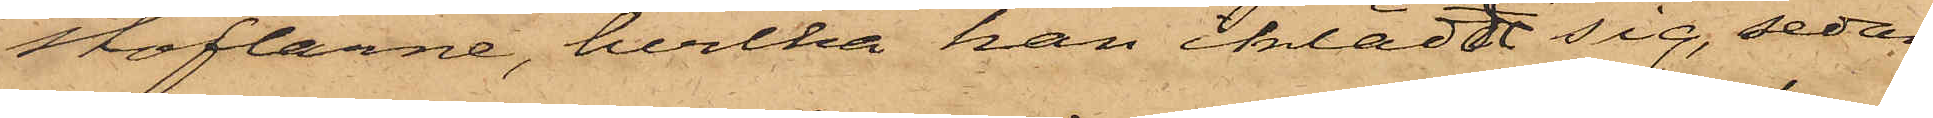stöflarne, hvilka han iklädt sig, sedan
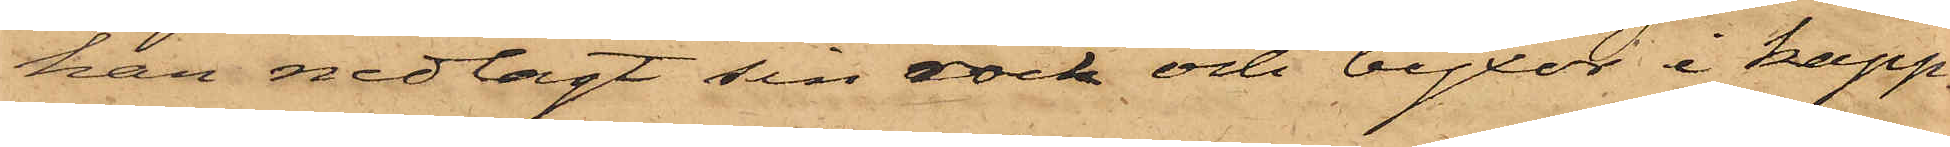han nedlagt sin rock och byxor i kapp¬
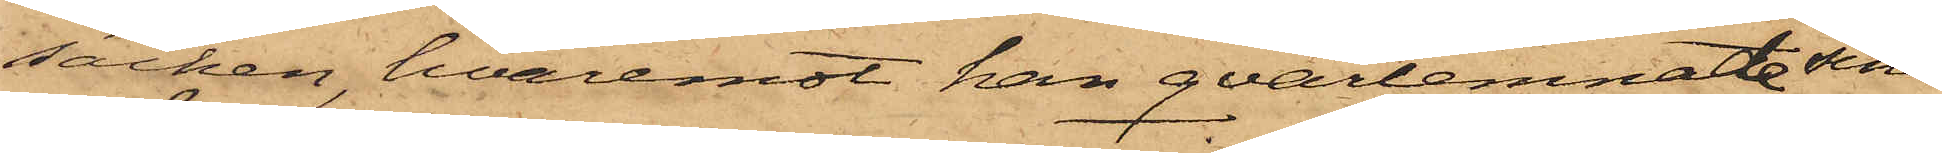säcken, hvaremot han qvarlemnat sina
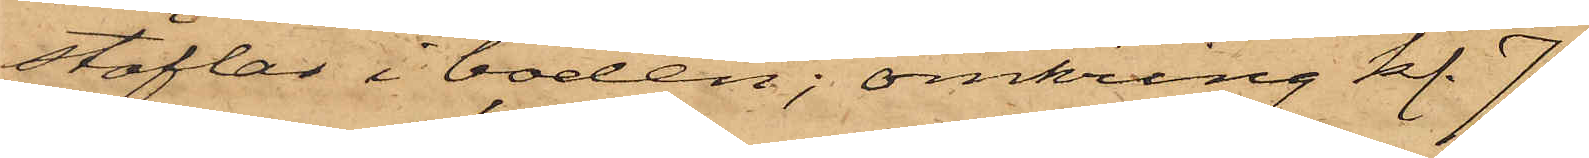stöflar i boden; omkring kl. 7
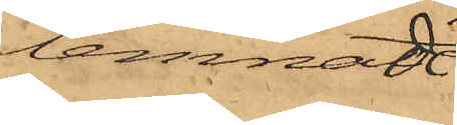lemnade
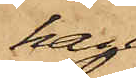han
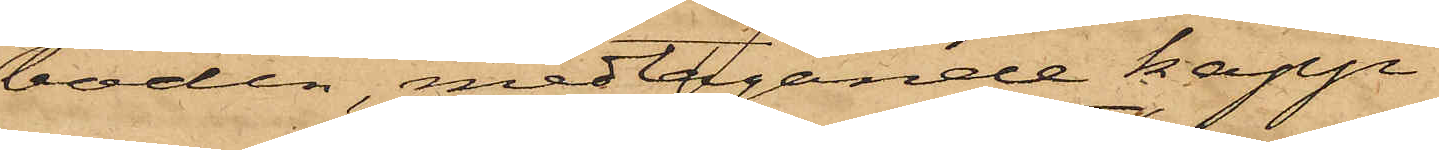boden, medtagande kapp¬
